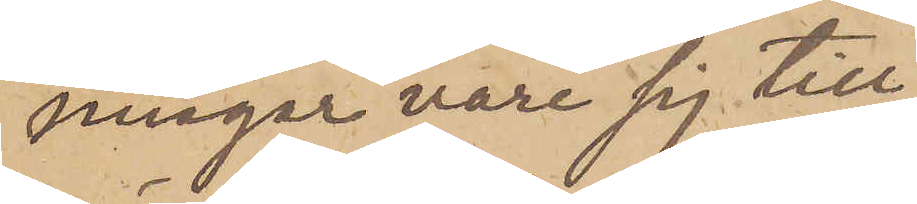ningar vare sig till
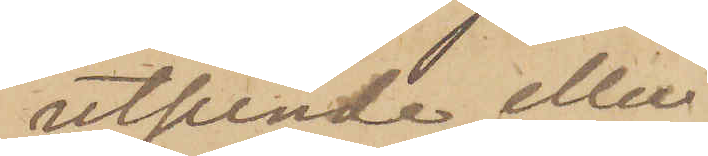utsende eller
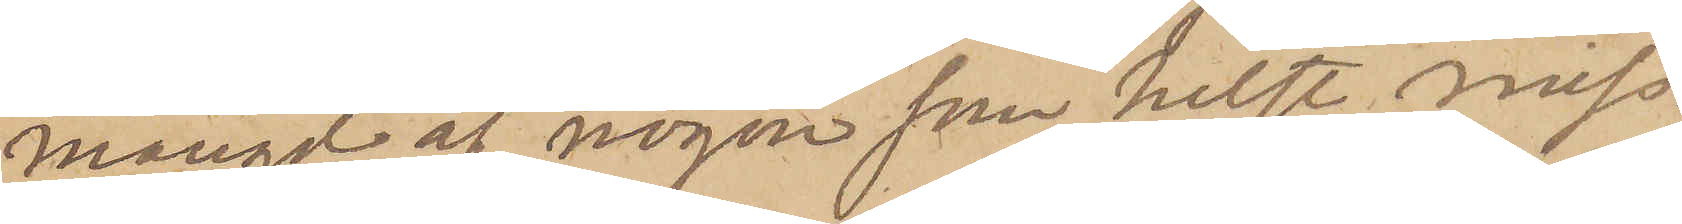mängd af någon som helst miss¬
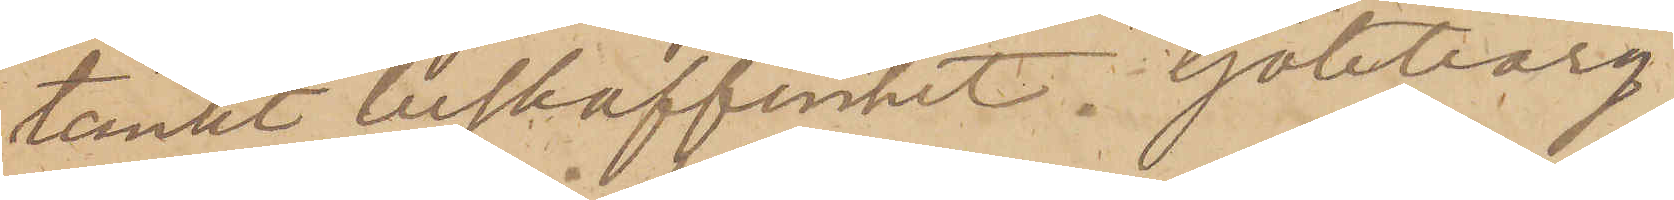tänkt beskaffenhet.  Göteborg
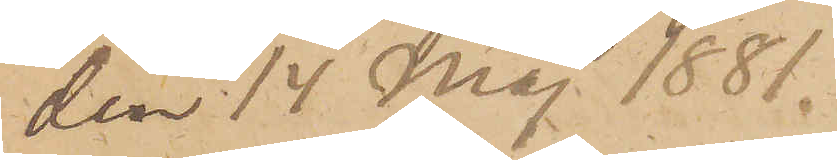den 14 Maj 1881.
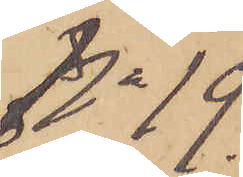No 19
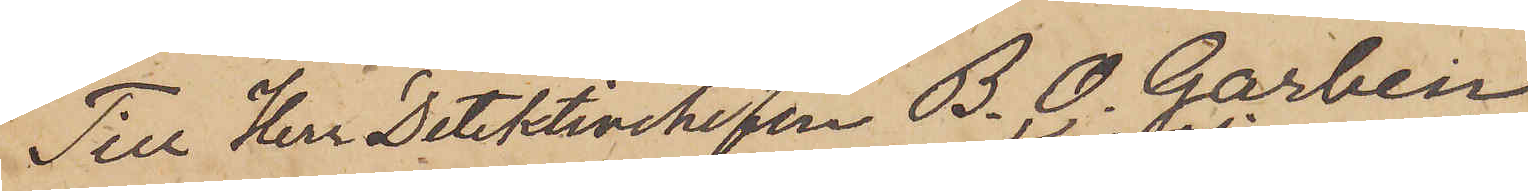Till Herr Detektivchefen B. O. Garbein
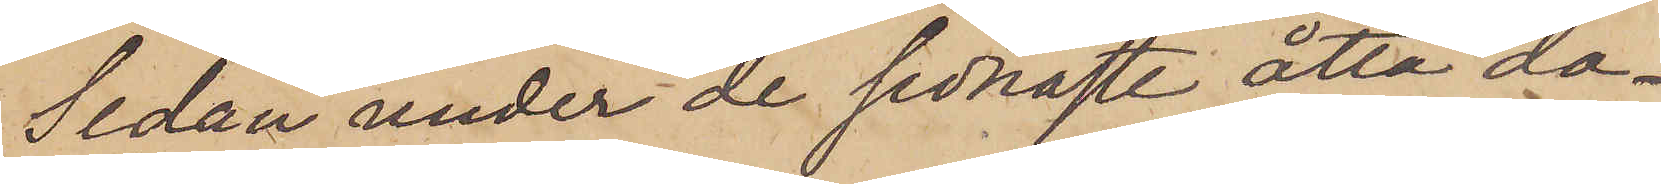Sedan under de sednaste åtta da¬
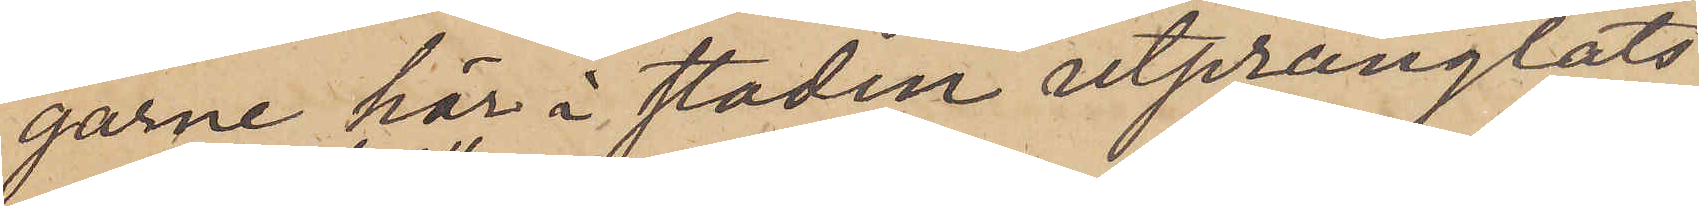garne här i staden utprånglats
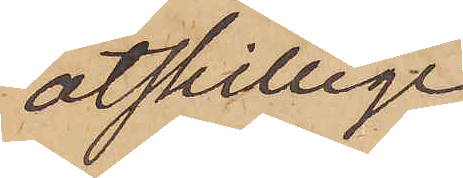åtskillige
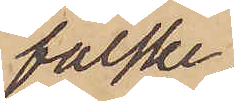falske
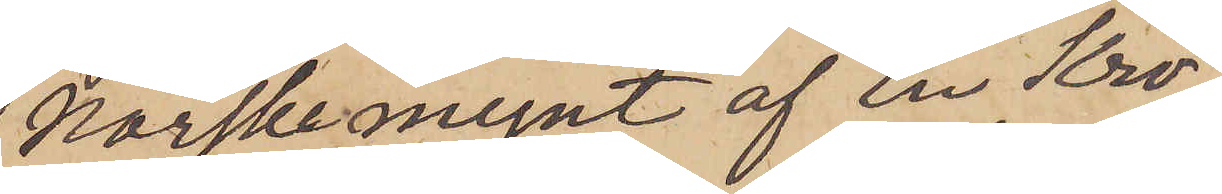Norskemynt af En Kro¬
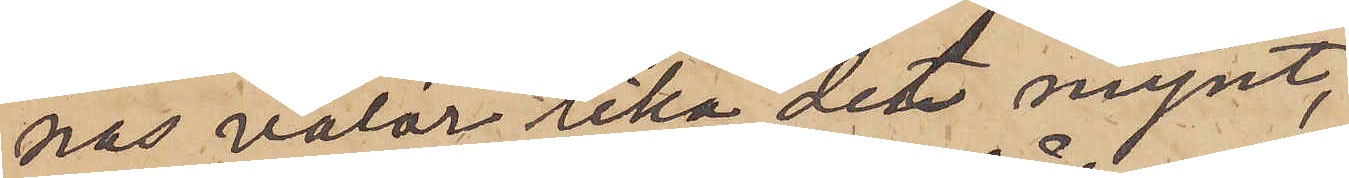nas valör lika det mynt,
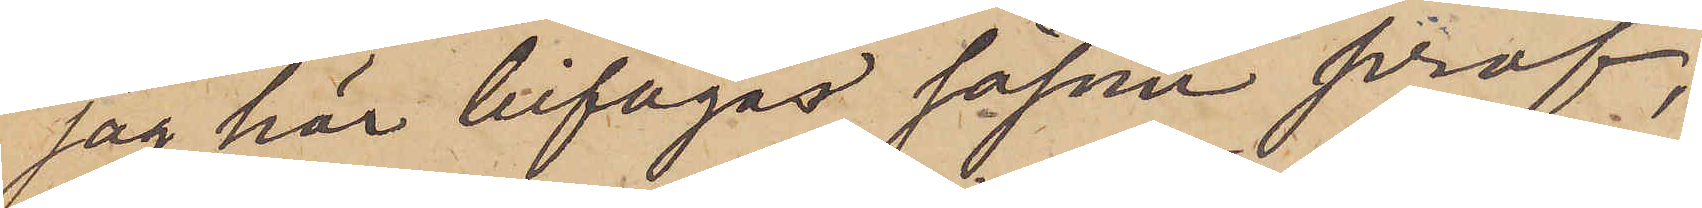jag här bifogar såsom prof,
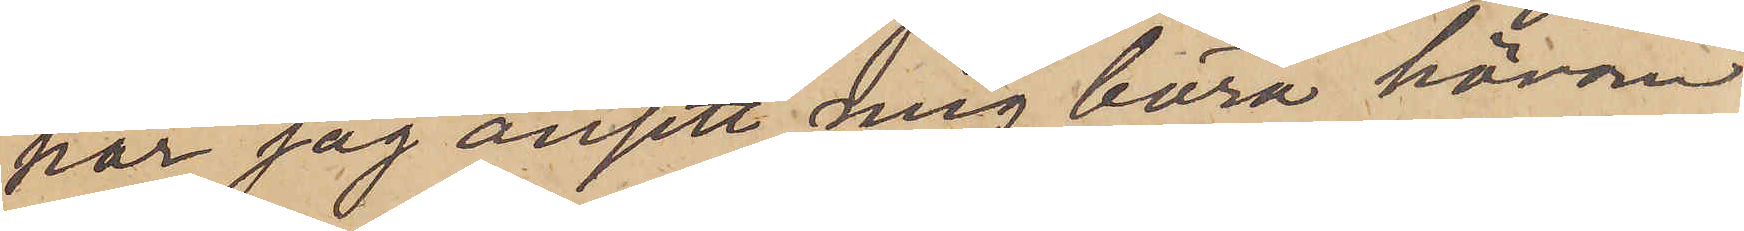har jag ansett mig böra härom
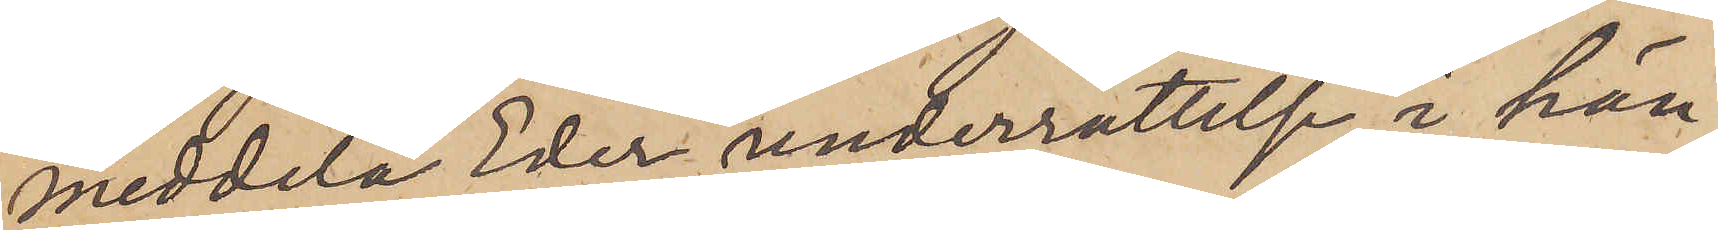meddela Eder underrättelse, i hän¬
